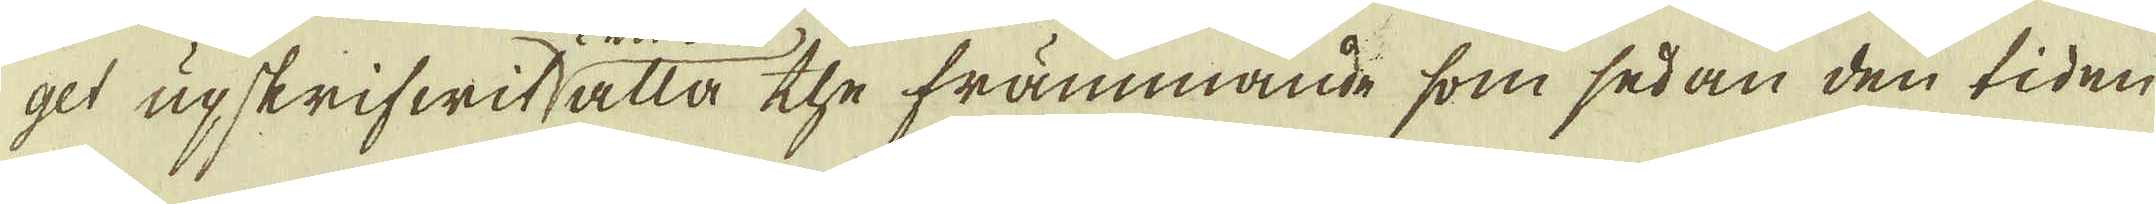get upskrifwit alla the främmande som sedan den tiden
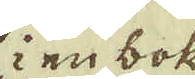i en bok
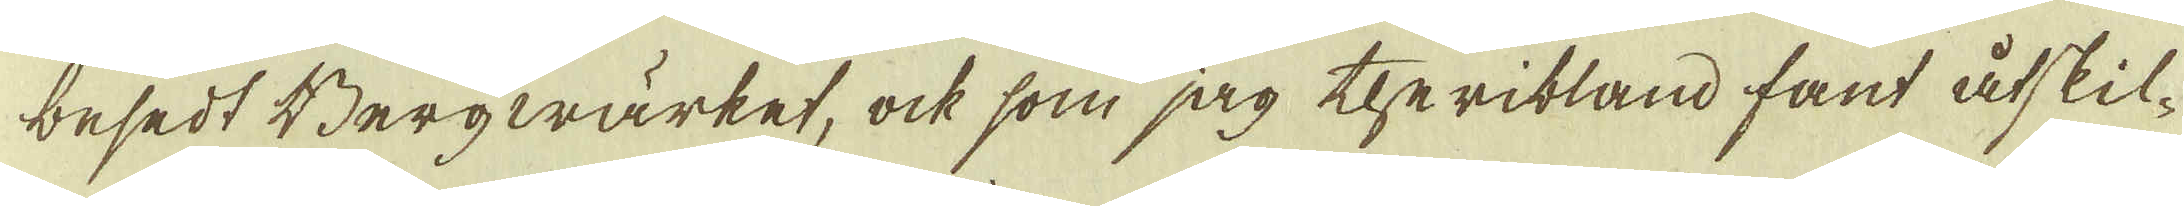besedt Bergwärket, ock som jag theribland fant åtskil-
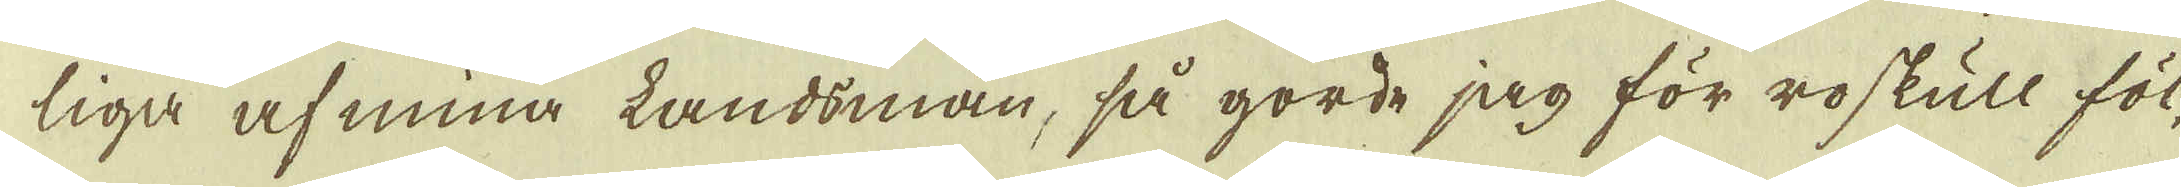liga af mina Landsmän, så gorde jag för ro skull föl-
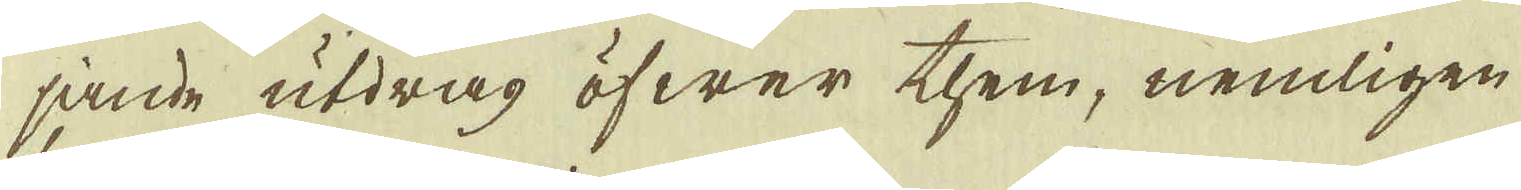jande utdrag öfwer them, nemligen
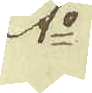1:o
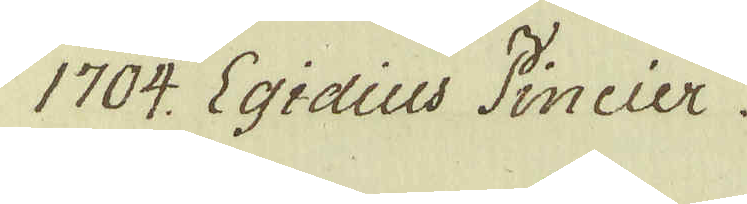1704. Egidius Pincier.
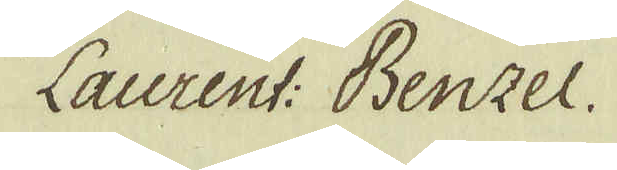Laurent: Benzel.
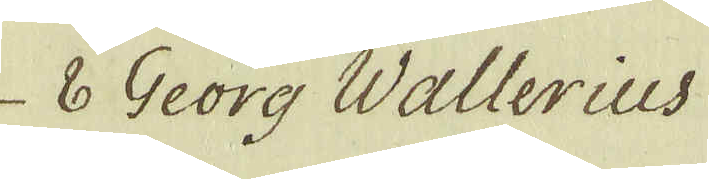6 Georg Wallerius
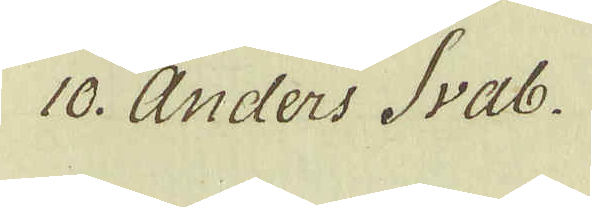10. Anders Svab.
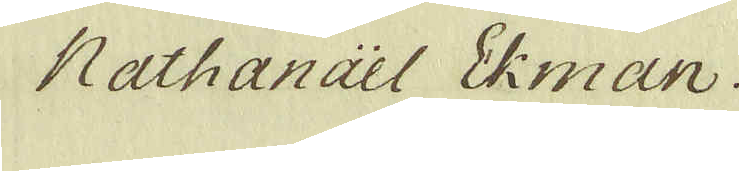Nathanael Ekman.
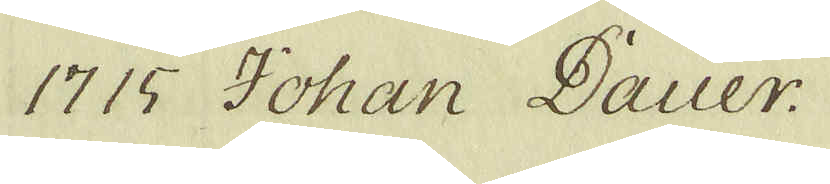1715 Johan Dauer.
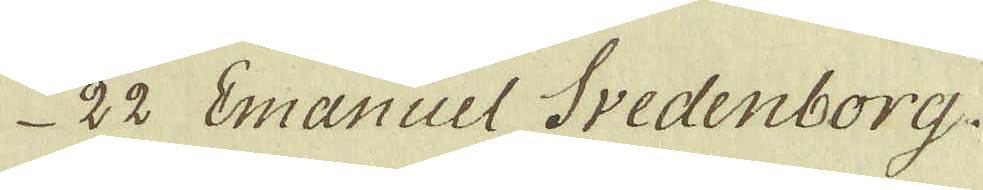22 Emanuel Svedenborg.
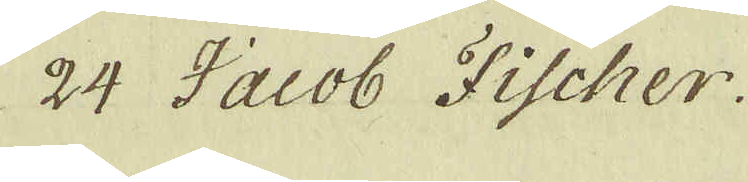24 Jacob Fischer.
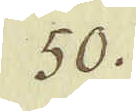50.
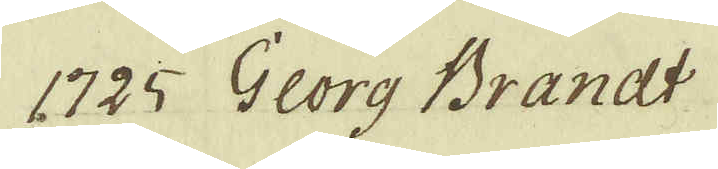1725 Georg Brandt
